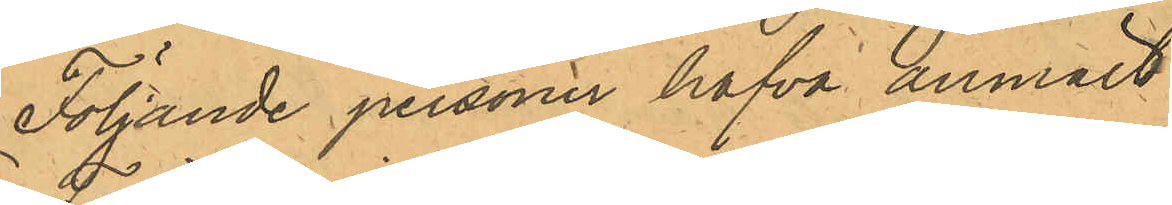Följande personer hafva anmält:
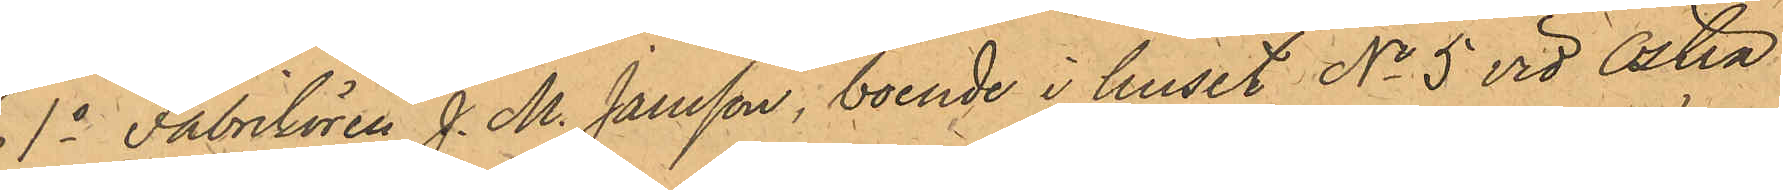1o Fabrikören J. M. Jansson, boende i huset No 5 vid Östra
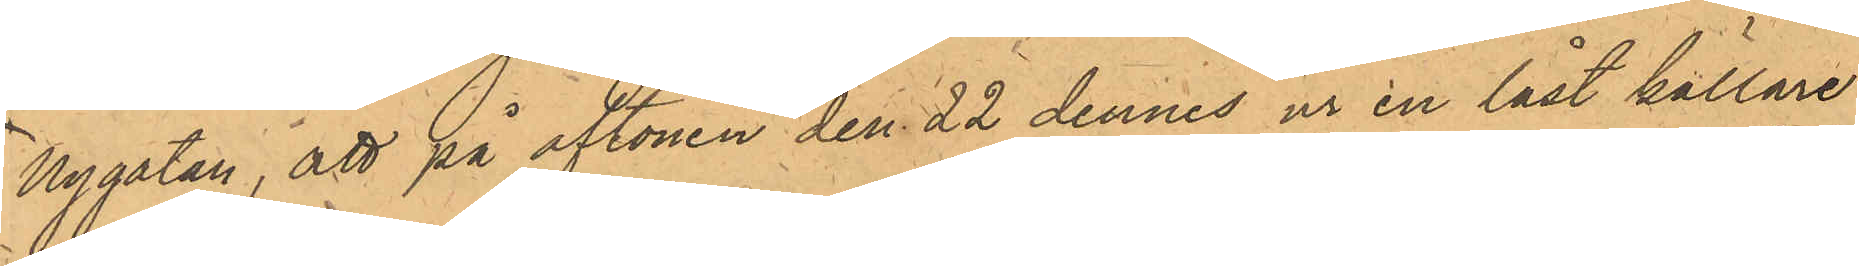Nygatan, att på aftonen den 22 dennes ur en låst källare
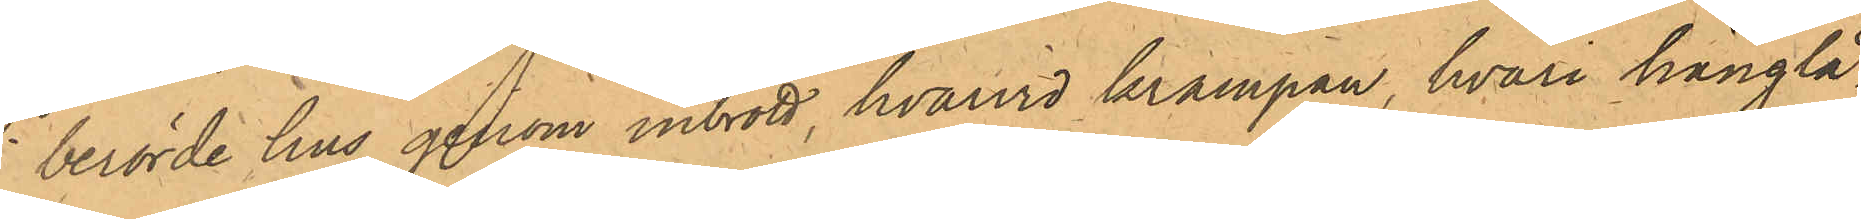i berörde hus genom inbrott, hvarvid krampan, hvari hänglå¬
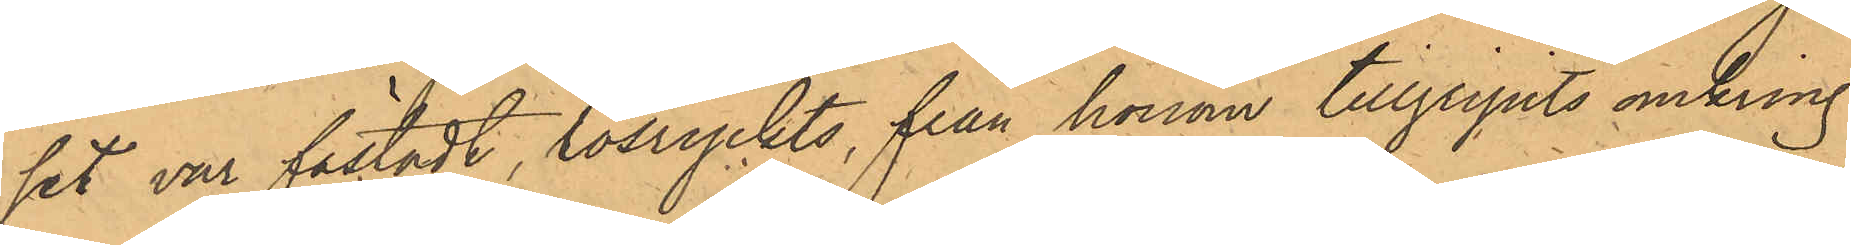set var fästadt, lösryckts, från honom tillgripits omkring
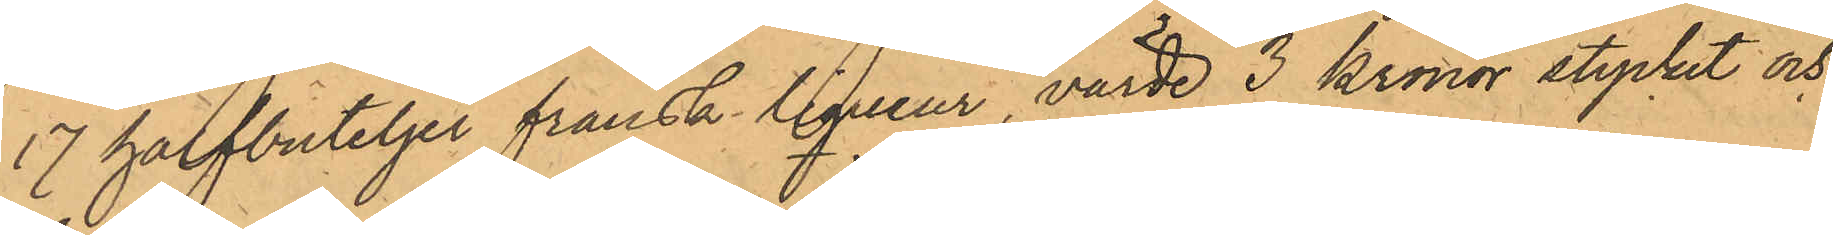17 halfbuteljer fransk liqueur, värde 3 kronor stycket och
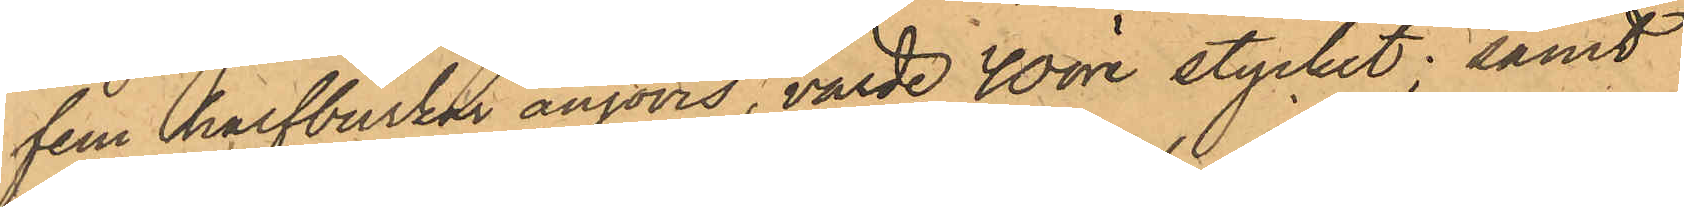fem halfburkar anjovis, värde 40 öre stycket; samt
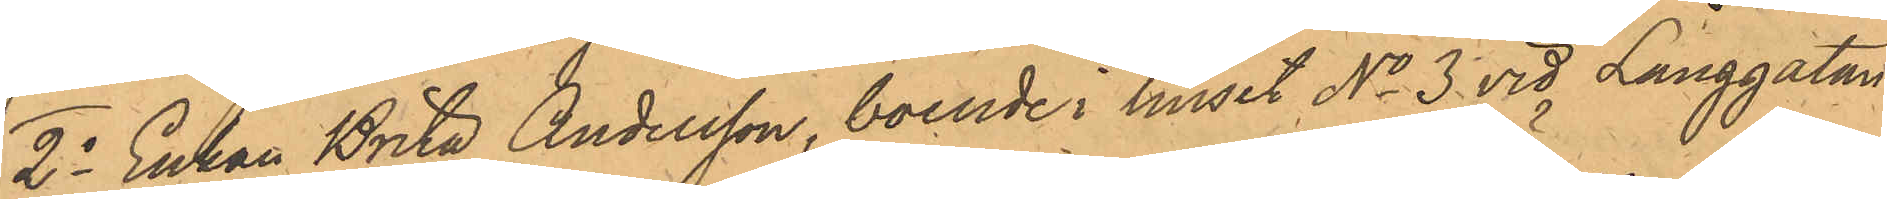2o Enkan Brita Andersson, boende i huset No 3 vid Långgatan
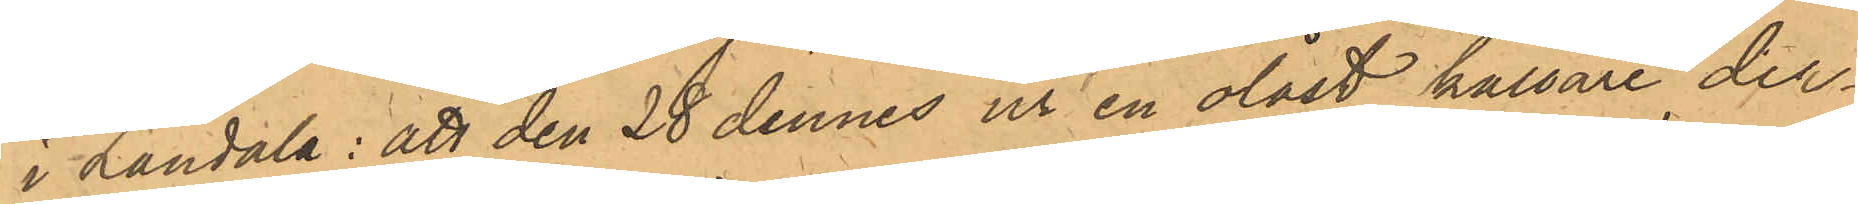i Landala: att den 28 dennes ur en olåst källare der¬
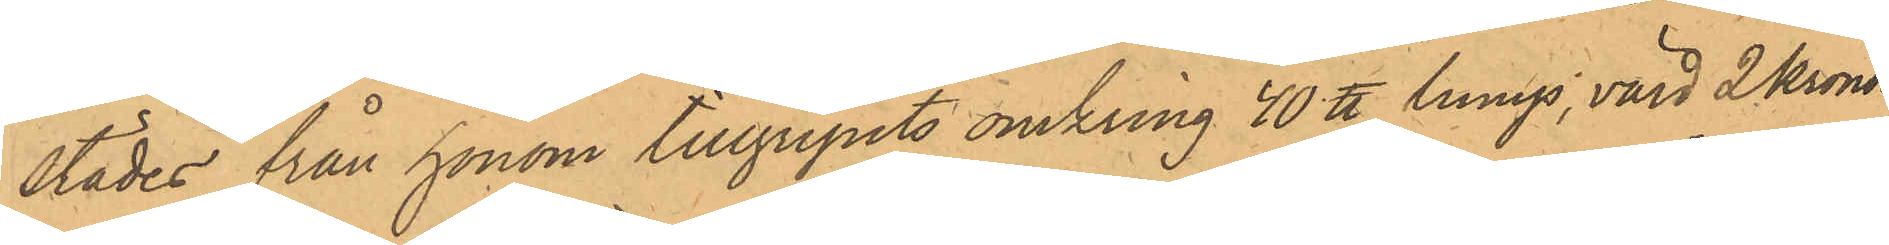städes från honom tillgripits omkring 40 ℔ lump, värd 2 Kronor.
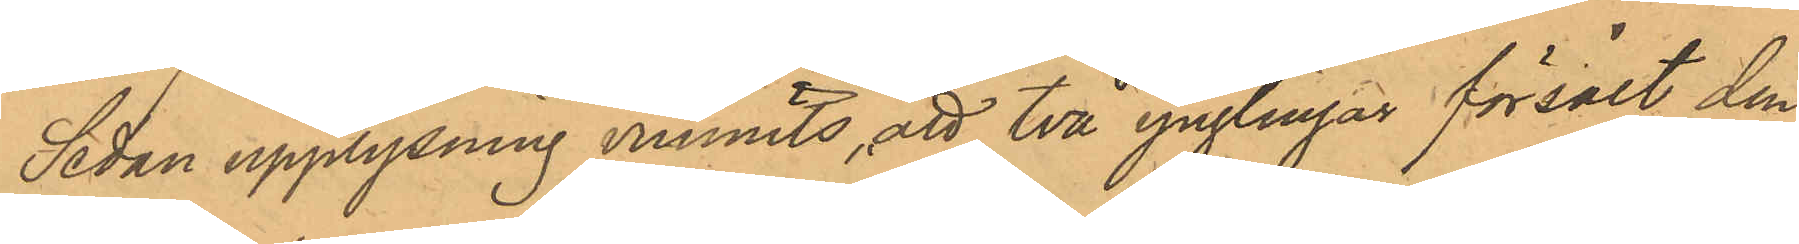Sedan upplysning vunnits, att två ynglingar försålt den
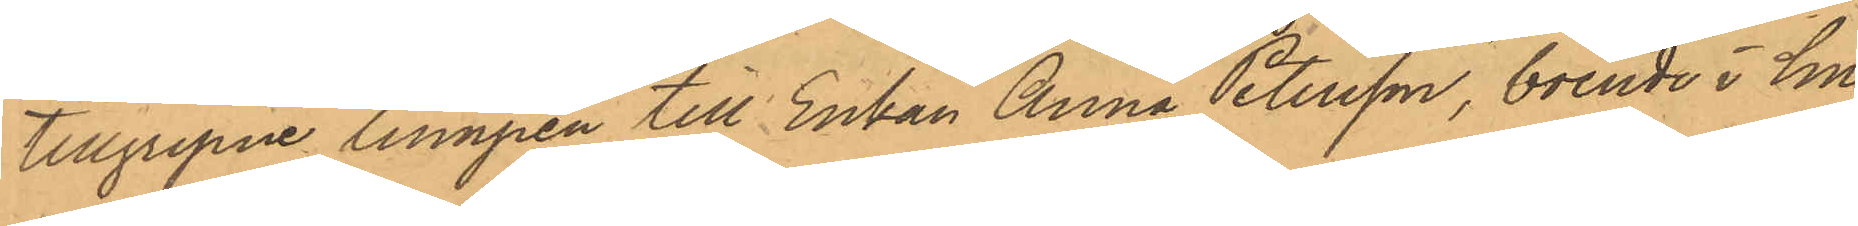tillgripne lumpen till Enkan Anna Petersson, boende i hu¬
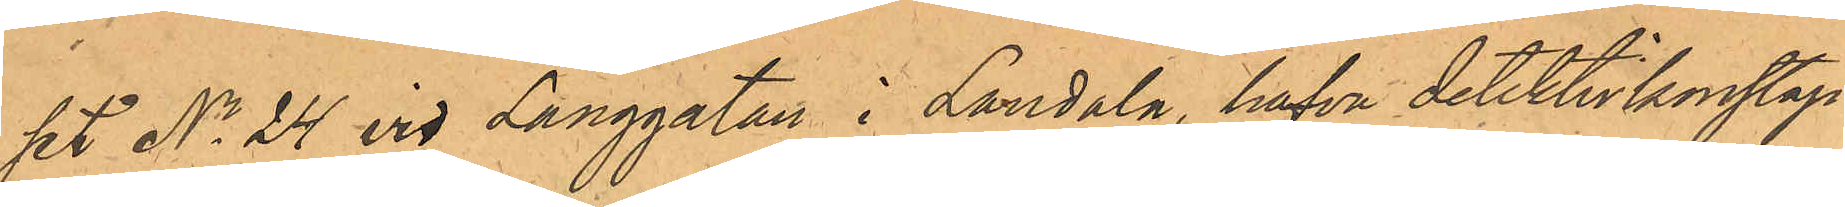set No 24 vid Långgatan i Landala, hafva detektivkonstap¬
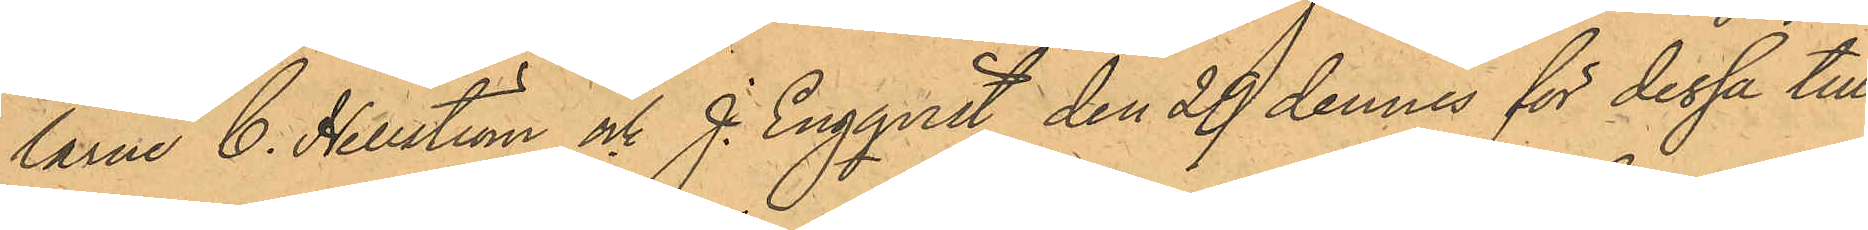larne C. Hellström och J. Engqvist den 29 dennes för dessa till¬
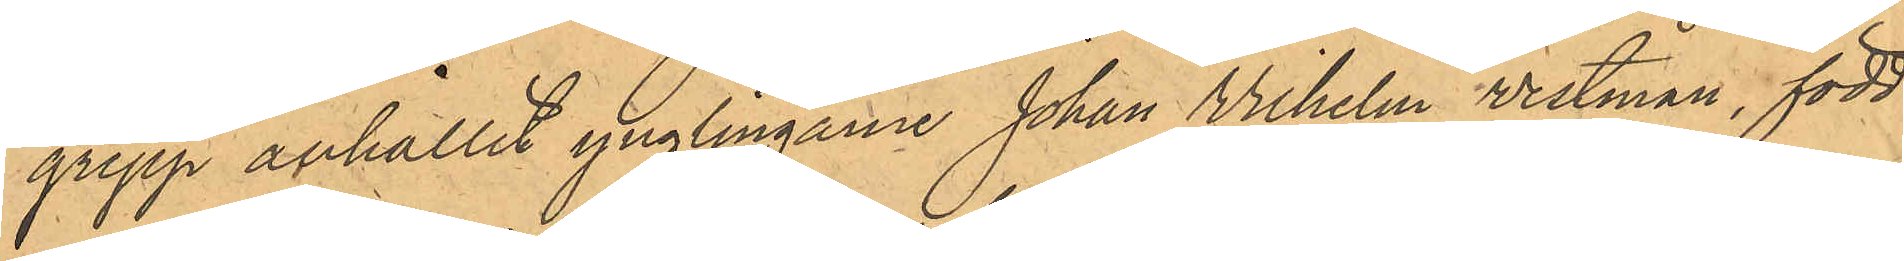grepp anhållit ynglingarne Johan Vilhelm Vestman, född
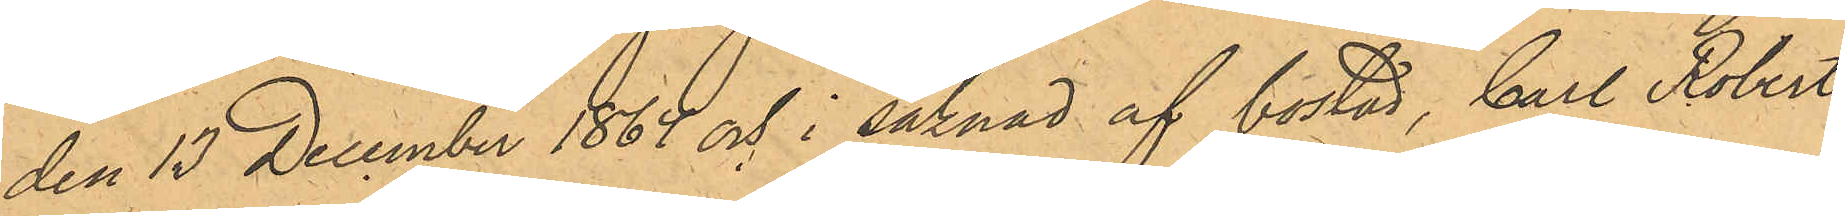den 15 December 1864 och i saknad af bostad, Carl Robert
